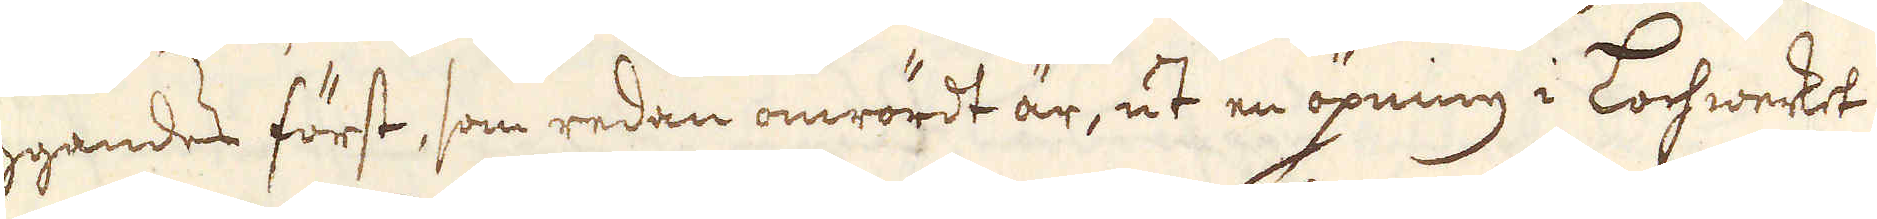huggandes först, som redan omrördt är, ut en öpning i Lochwerket
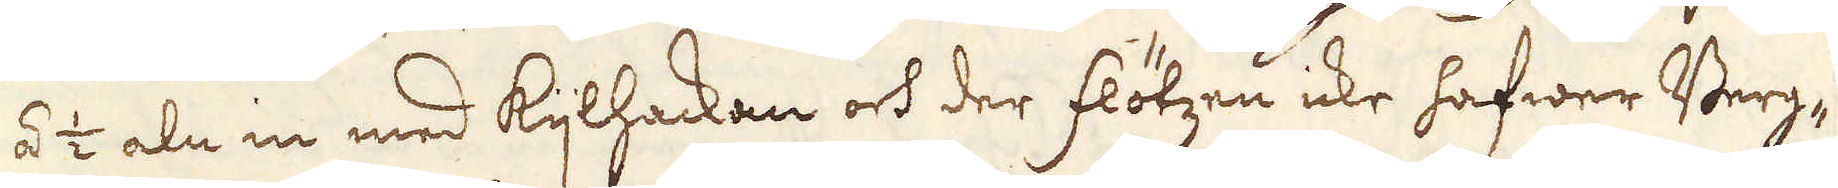1/4 á 1/2 aln in med kijlhackan och der flötzen icke hafwer Berg-
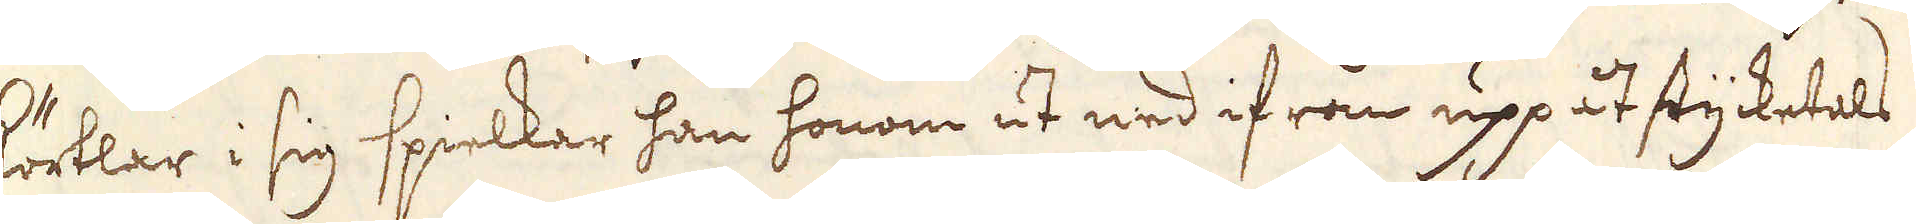körtlar i sig spielkar han honom ut ned ifrån uppåt stycketals
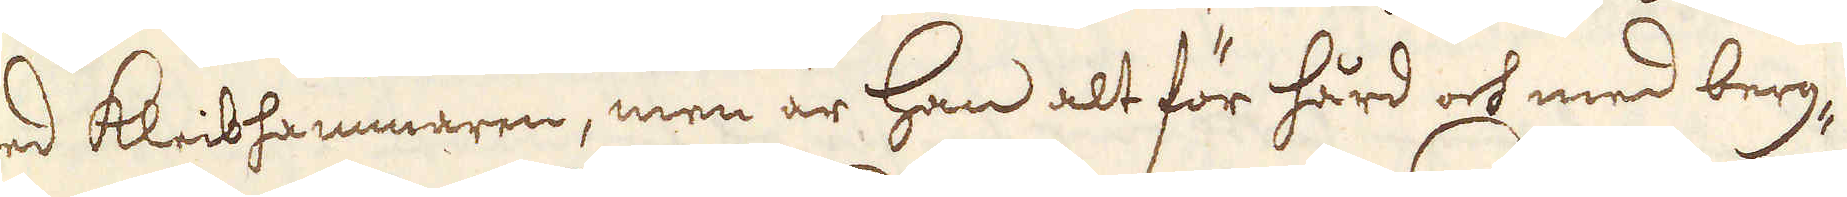med kleibhammaren, men är han alt för hård och med berg
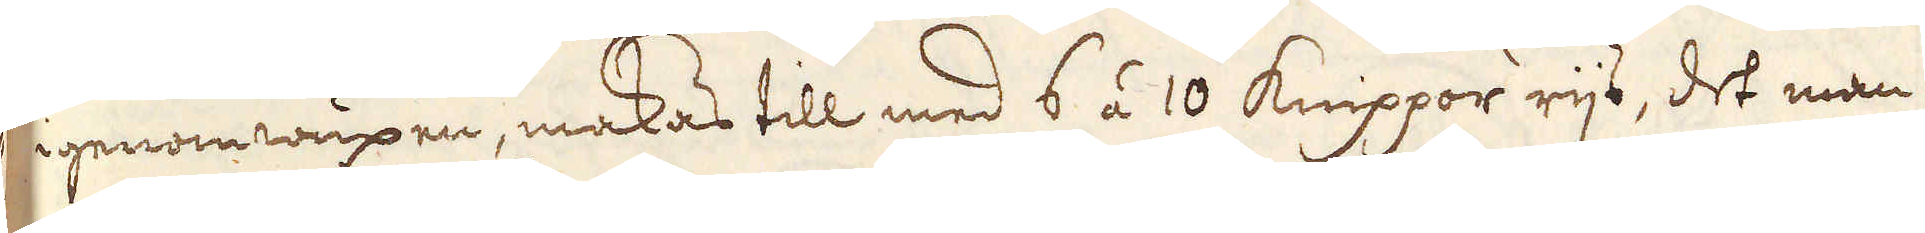igenom wuxen, makas till med 6 á 10 Knippor rijs, det man
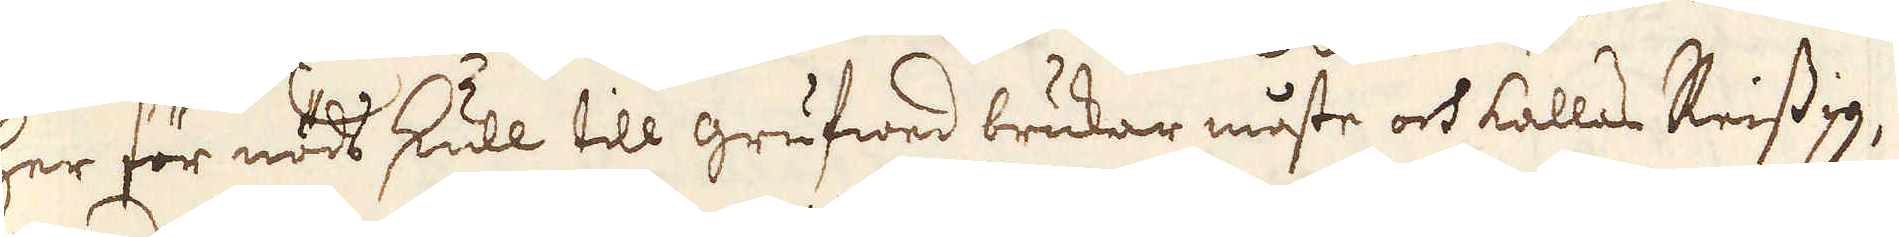her för nöds skull till grufwed brukar måste och kallas Reissig,
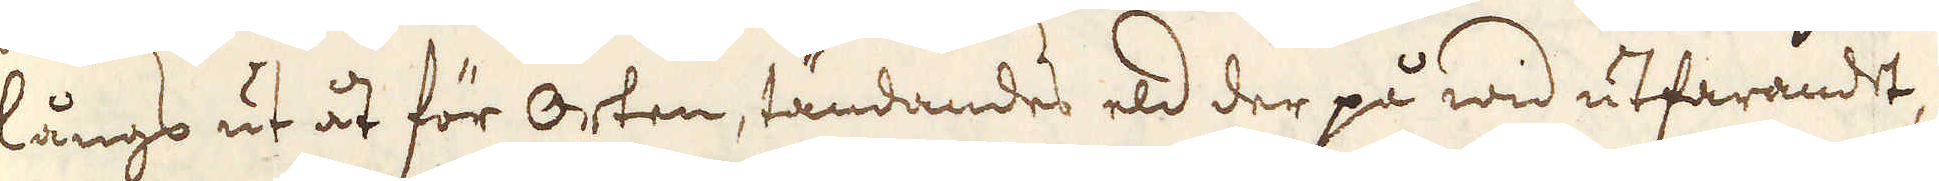långs ut åt för Orten, tändandes eld der på wid utfarandet,
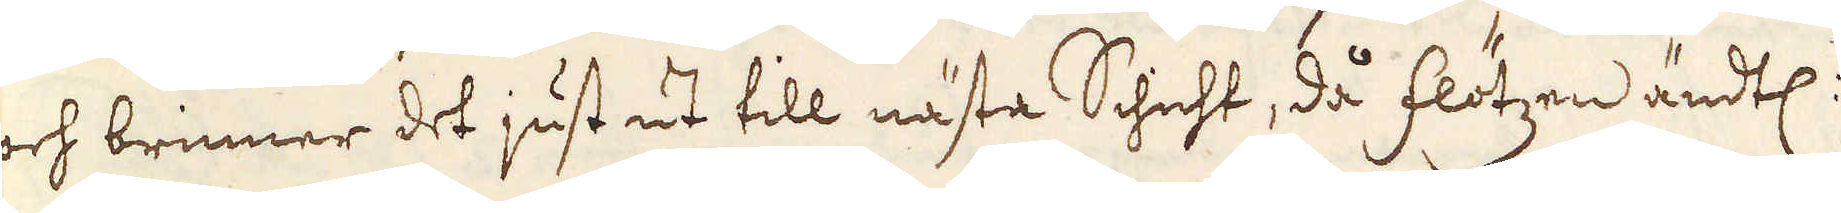och brinner det just ut till nästa Schicht, då flötzen ändtl:
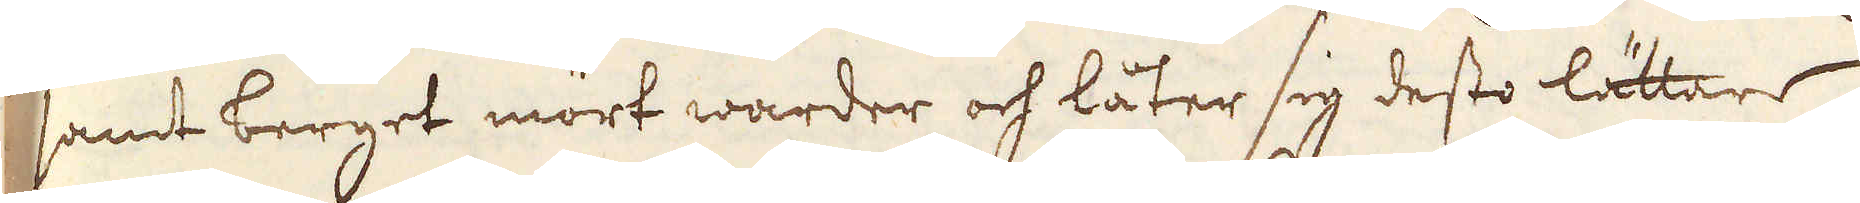samt berget mört warder och låter sig desto lättare
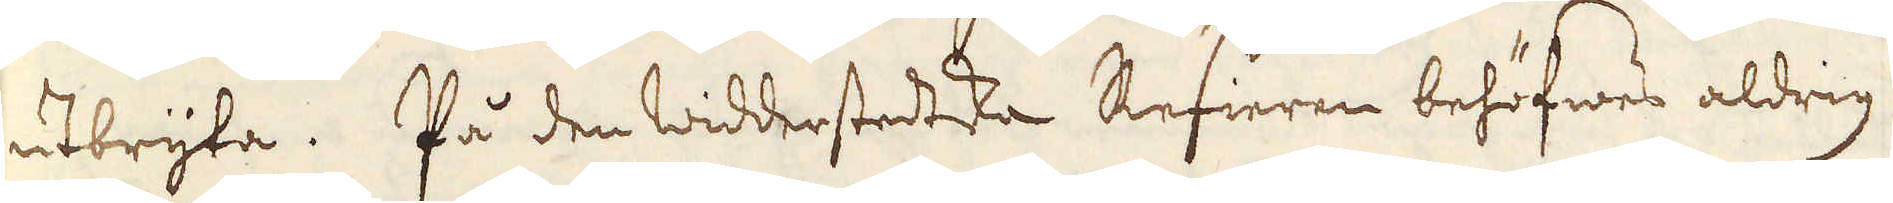utbryta. På den widderstedtska Refieren behöfwes aldrig
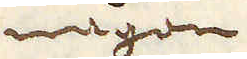någon
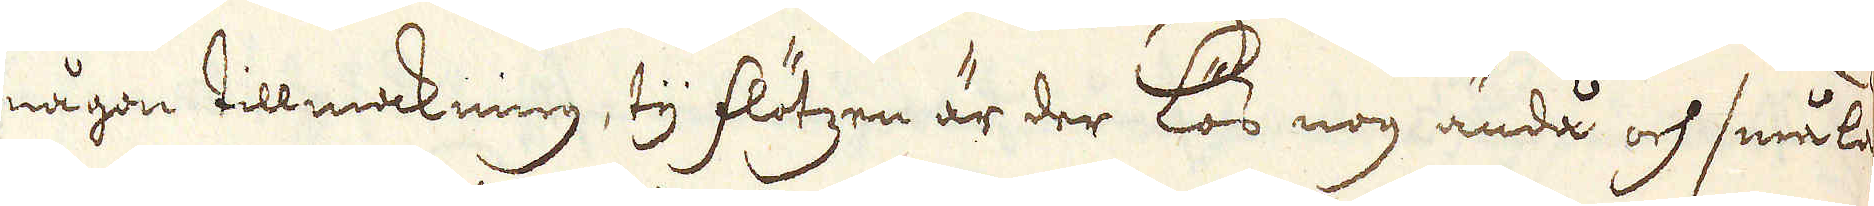någon tillmakning, ty flötzen är der lös nog ändå och smular
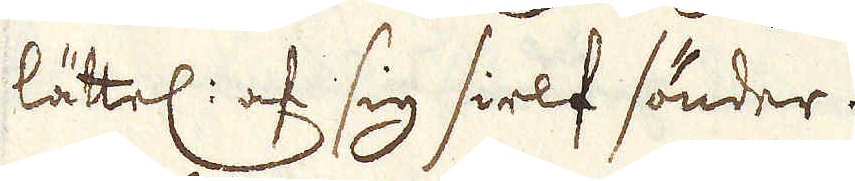lättel: af sig sielf sönder.
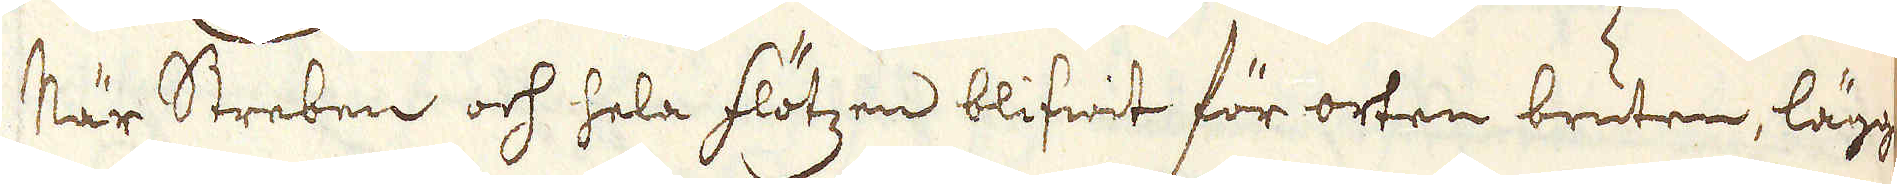När Streben och hela flötzen blifwit för orten bruten, lägger
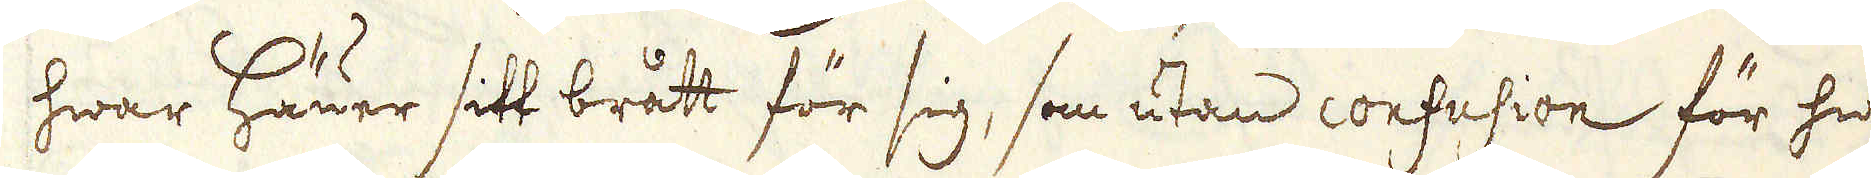hwar Häuer sitt brått för sig, som utan confusion för hwar
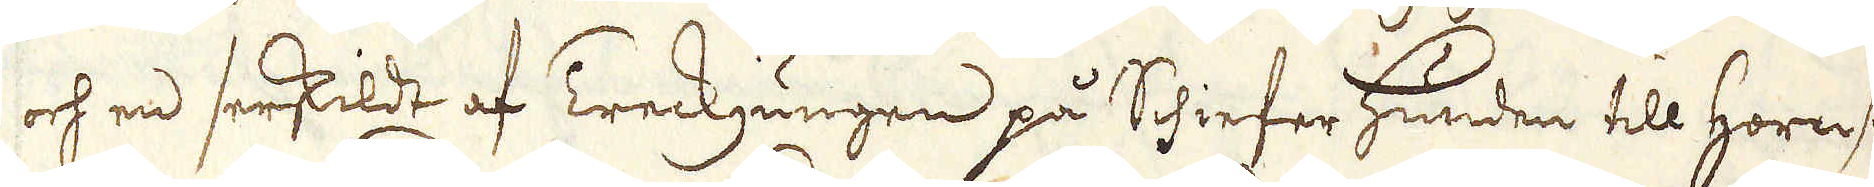och en serskildt af Treckjungen på Schiefer Hunden till Hornsta-
